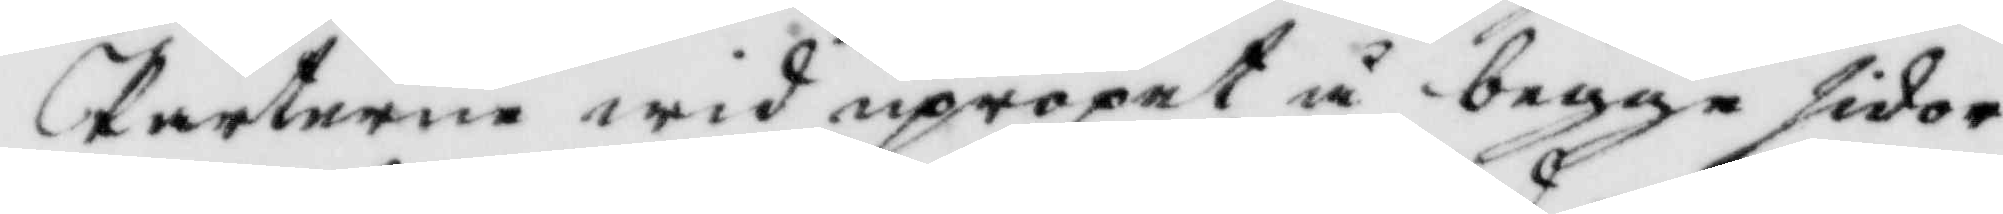Parterne wid uppropet å beggen sidor
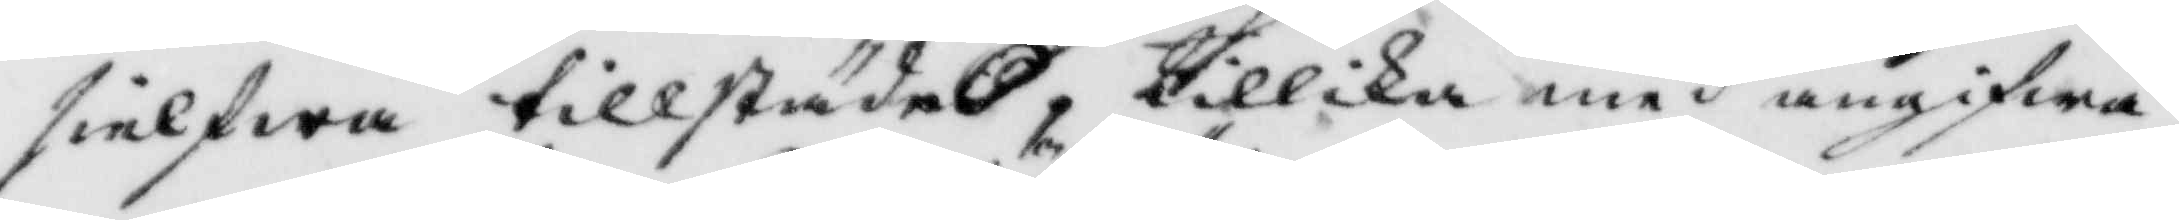sielfwa tiilstädes, tillika med angigwa¬
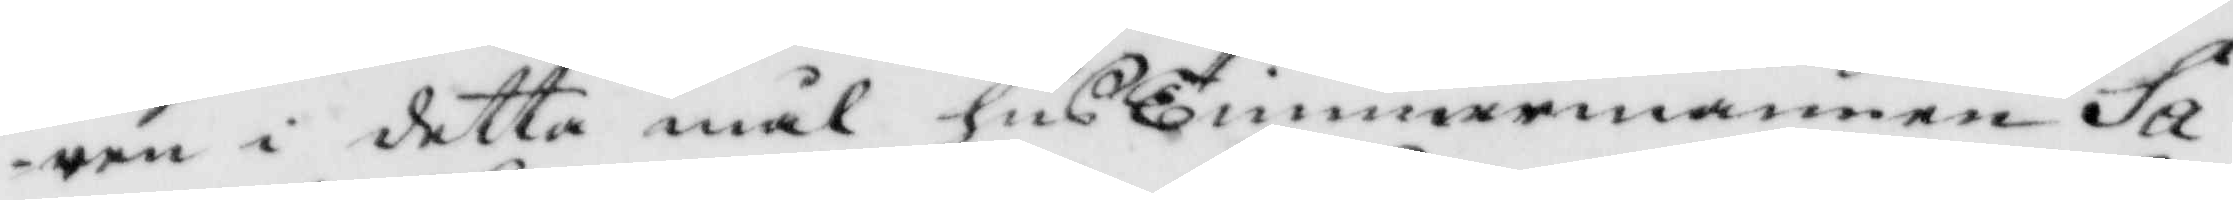ren i detta mål husTimmermannen Sa¬
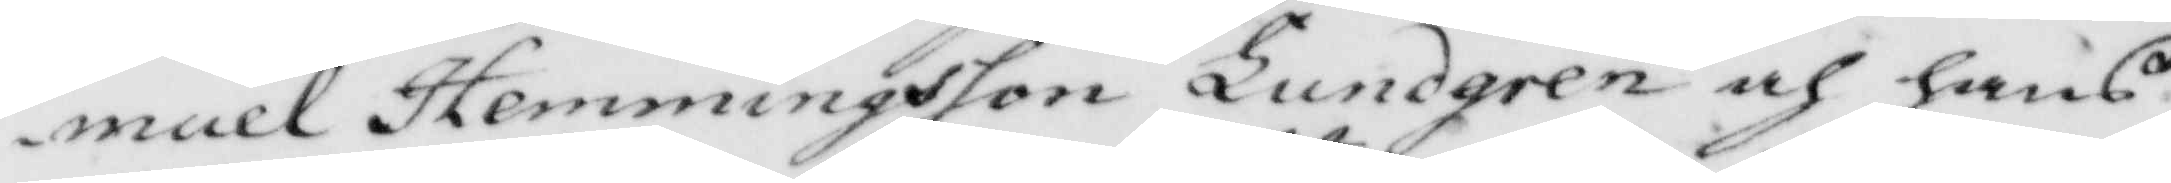muel Hemmingsson Lundgren och hans
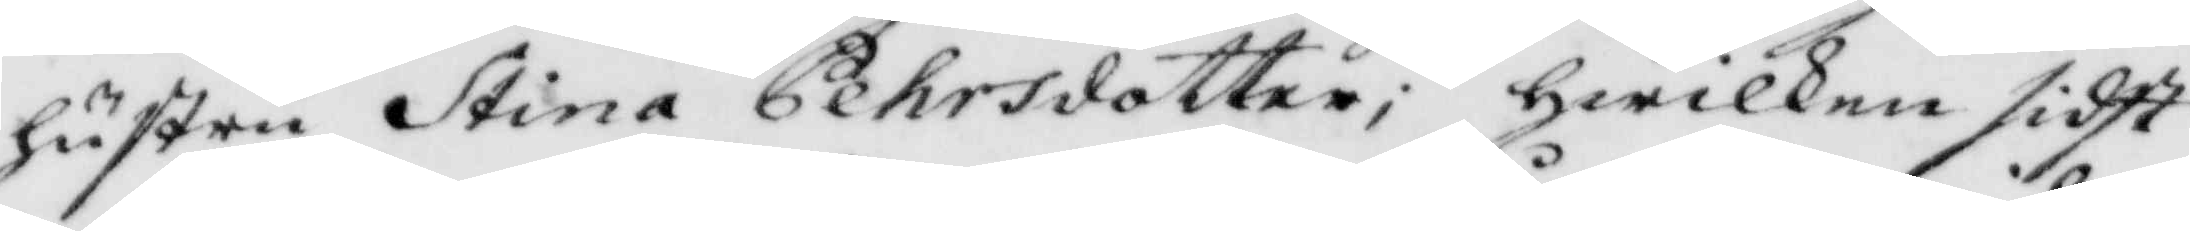hustru Stina Pehrsdotter; hwilken sidst¬
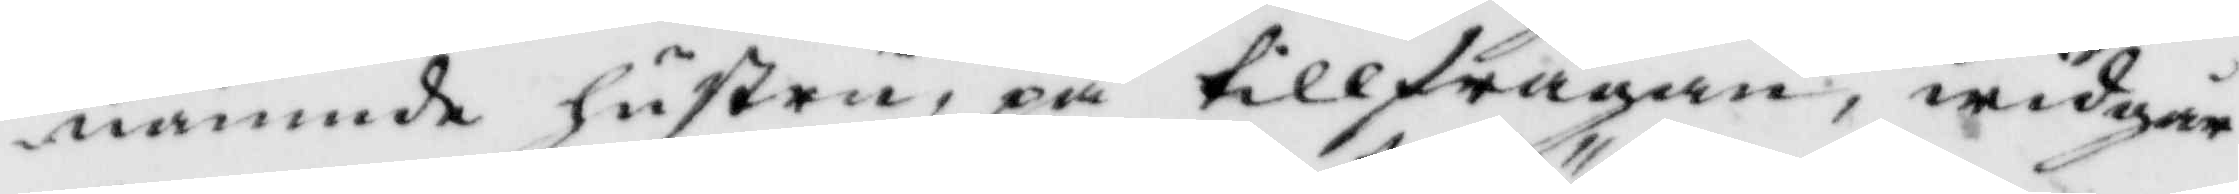nämnde hustru, på tillfrågan, widgår
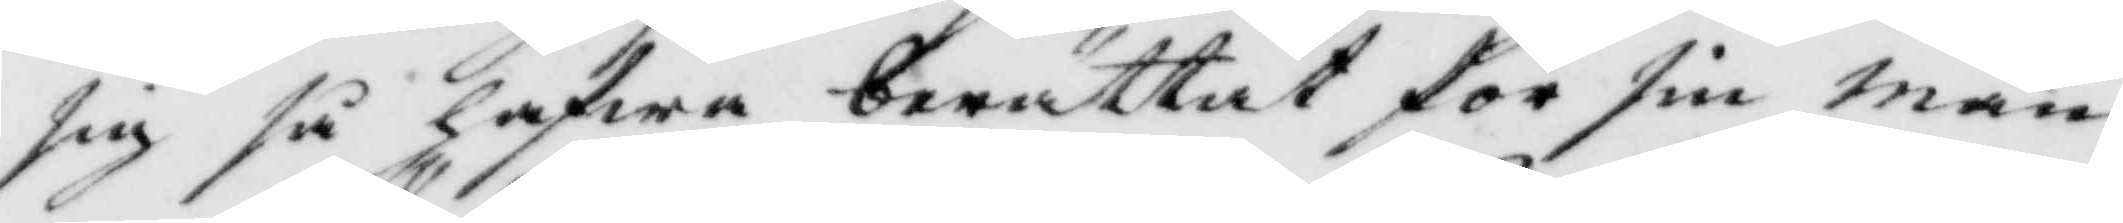sig så hafwa berättat för sin man
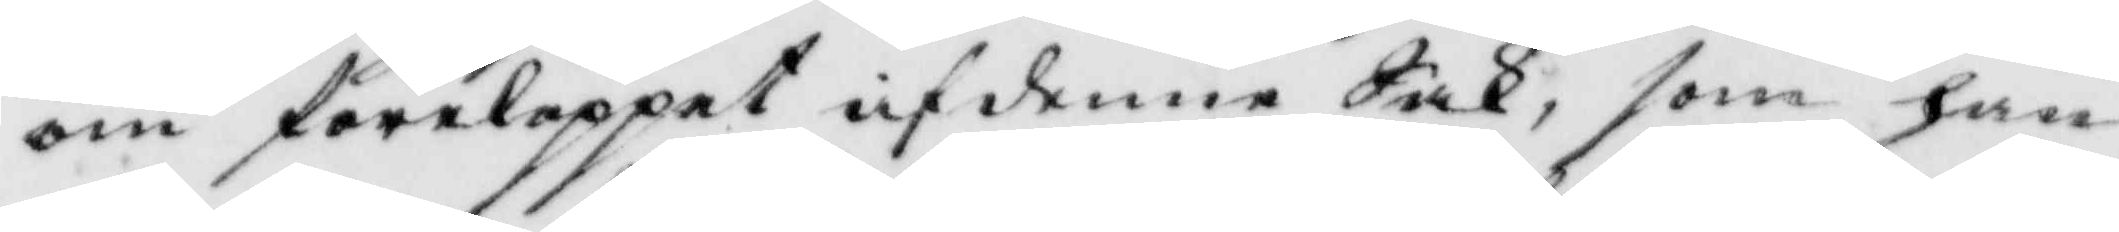om förloppet af denne Sak, som han
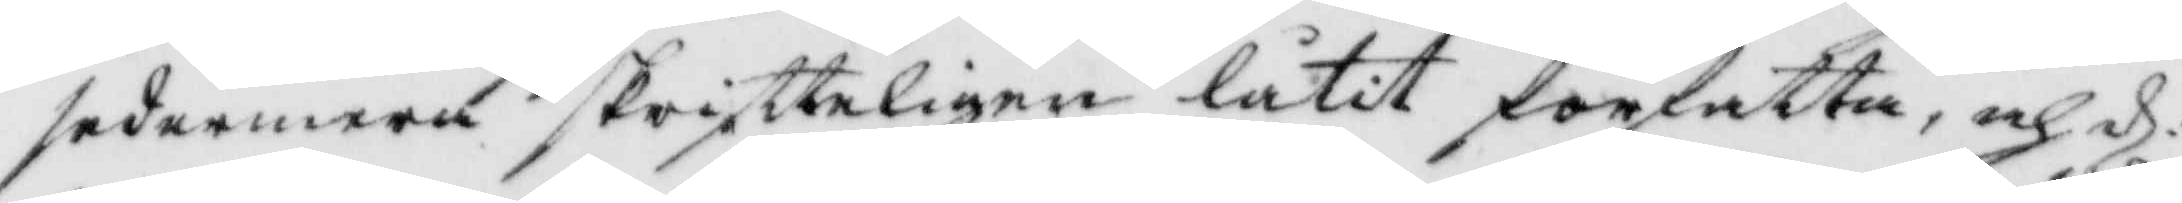sedermera skrifteligen låtit författa, och d:
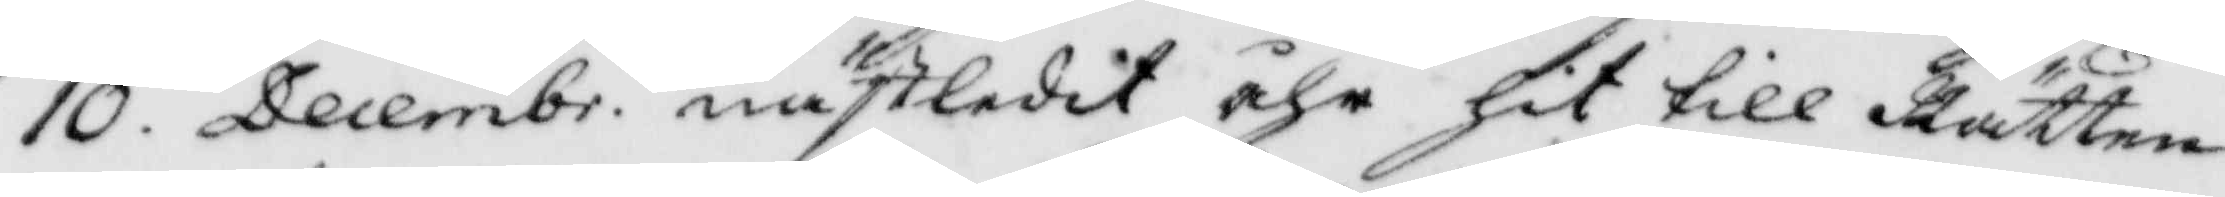10. Decembr. nästledet åhr hit till Rätten
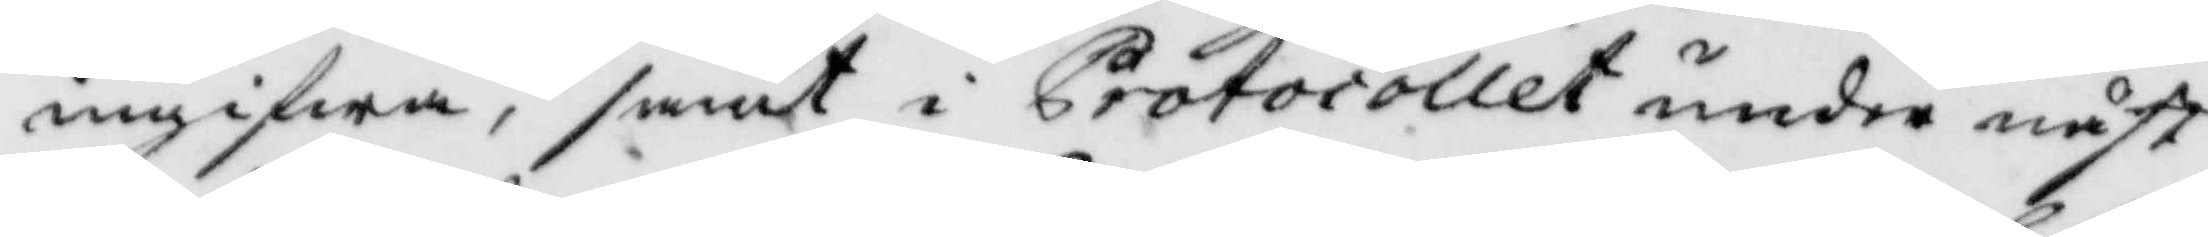ingifwa, samt i Protocollet under näst
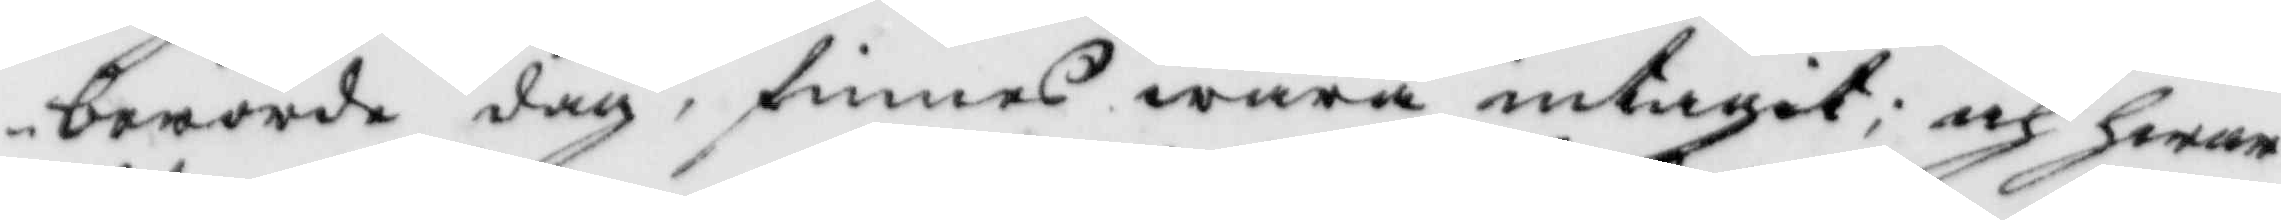berörde dag, finnes wara intagit; och hwar
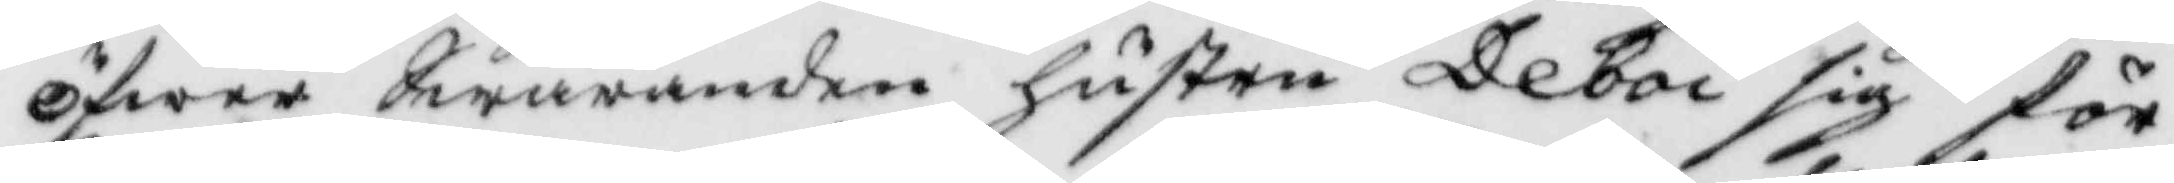öfwer Swaranden hustru Deboi sig för¬
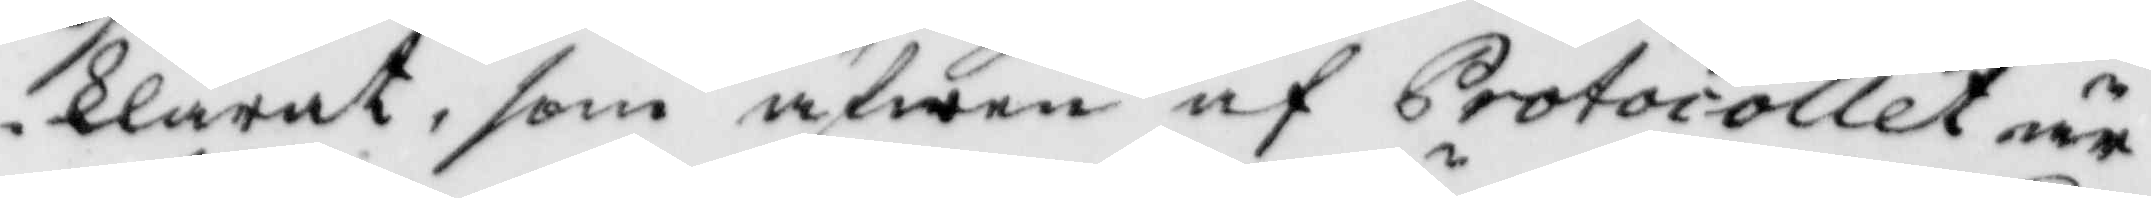klarat, som äfwen af Protocollet är
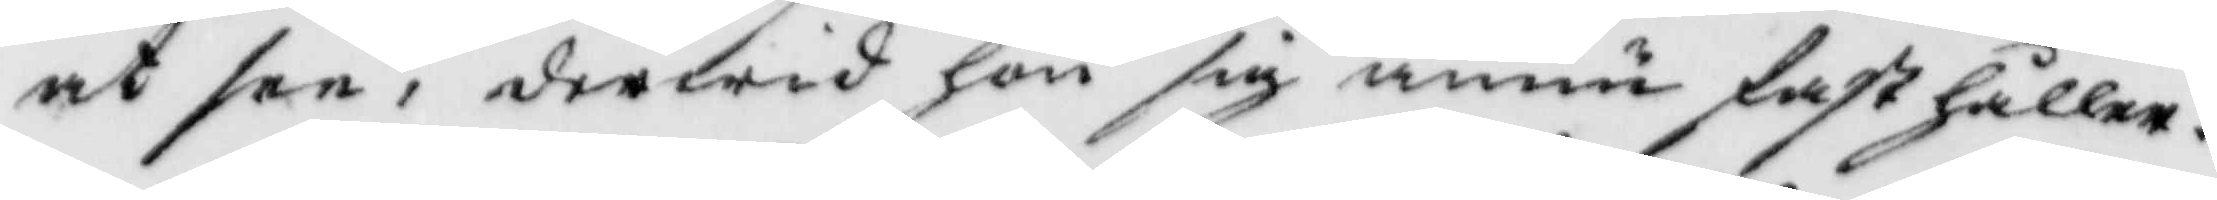at see, derwid hon sig ännu fasthåller.
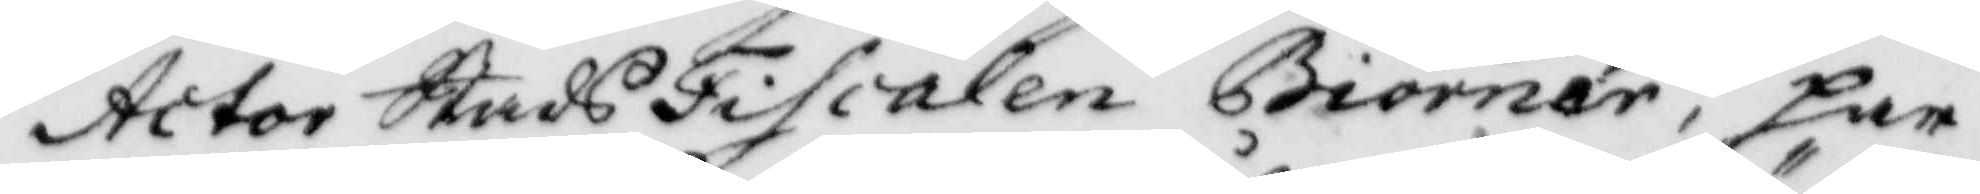Actor StadsFiscalen Biörner, har
